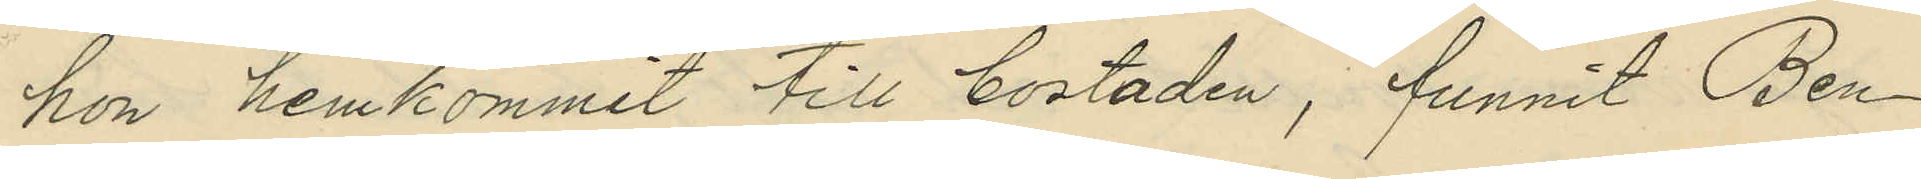hon hemkommit till bostaden, funnit Ben¬
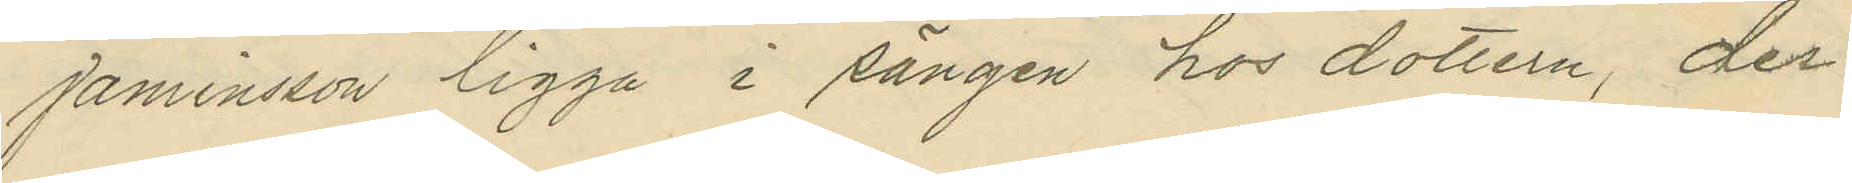jaminsson ligga i sängen hos dottern, der
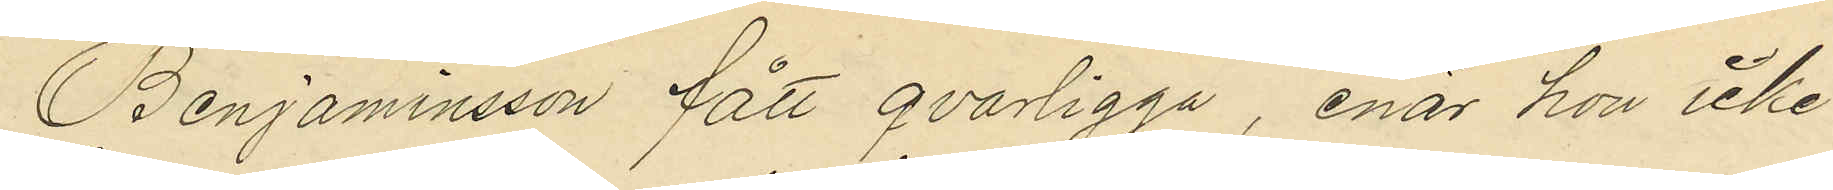Benjaminsson fått qvarligga, enär hon icke
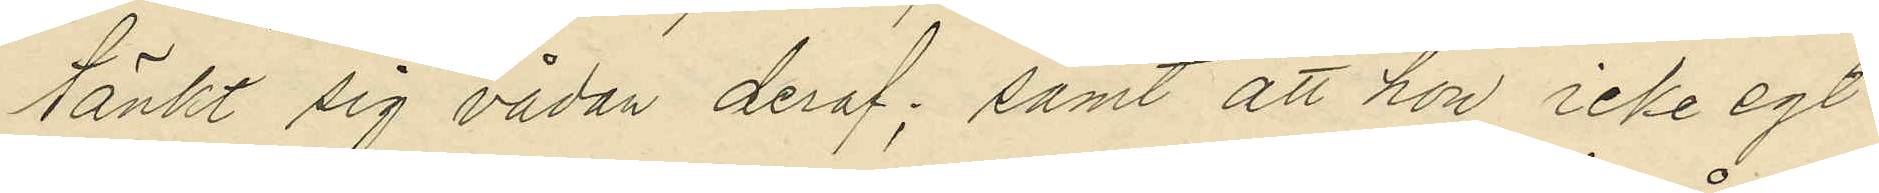tänkt sig vådan deraf; samt att hon icke egt
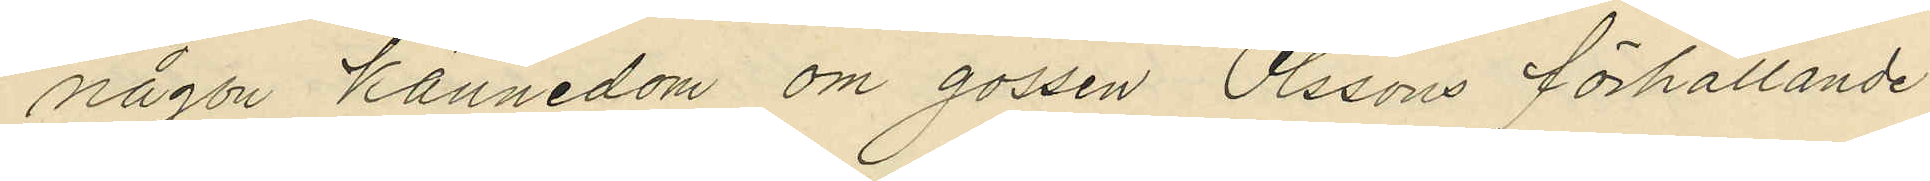någon kännedom om gossen Olssons förhållande
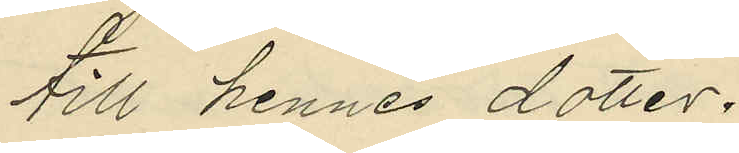till hennes dotter.
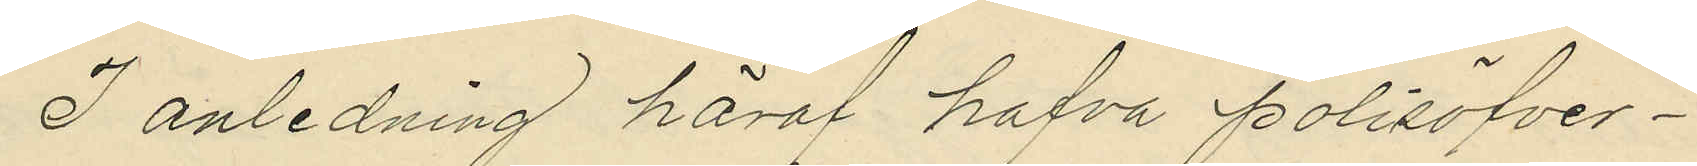I anledning häraf hafva Polisöfver¬
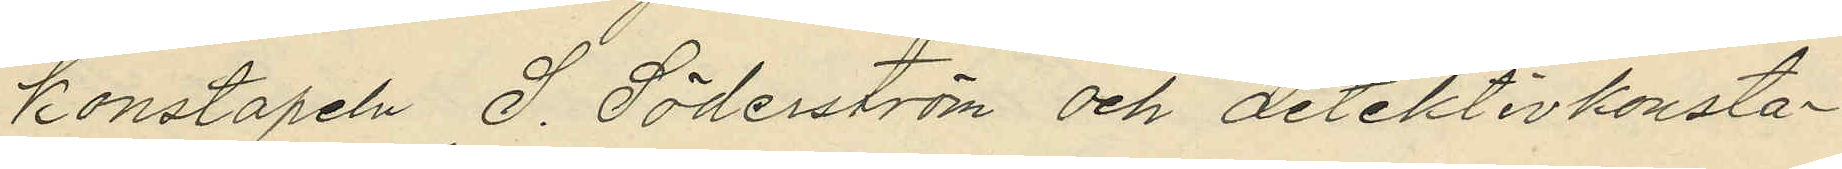konstapeln S. Söderström och detektivkonsta¬
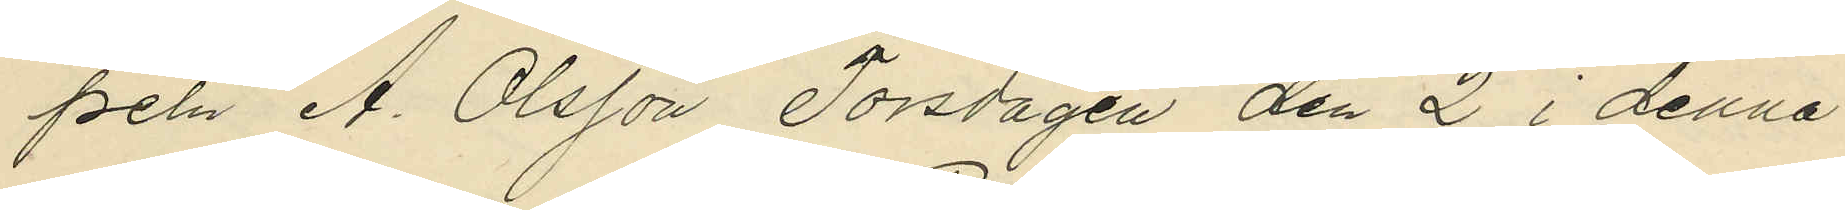peln A. Olsson Torsdagen den 2 i denna
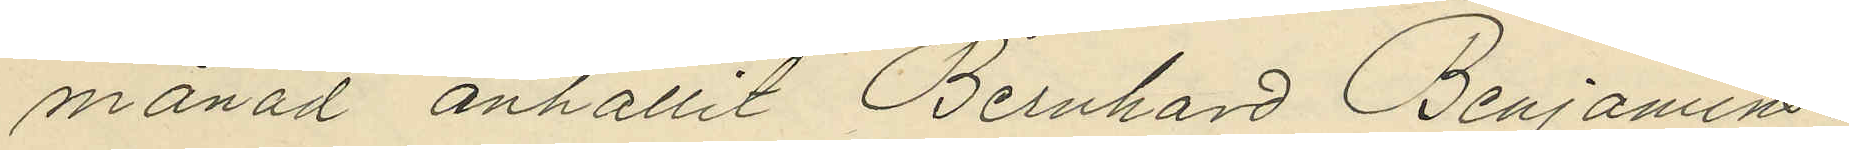månad anhållit Bernhard Benjamins¬
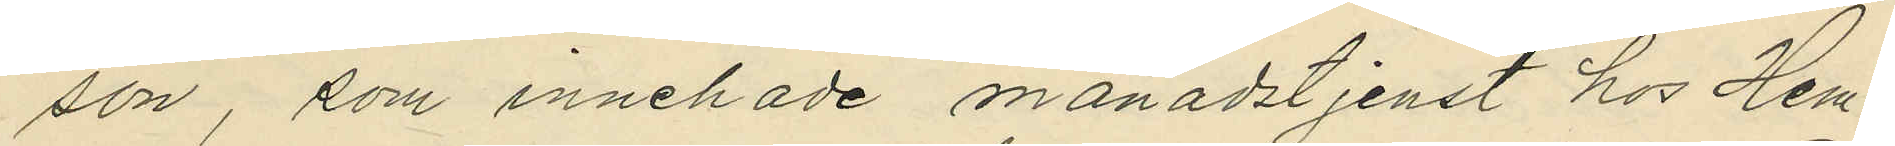son, som innehade månadstjenst hos Hem¬
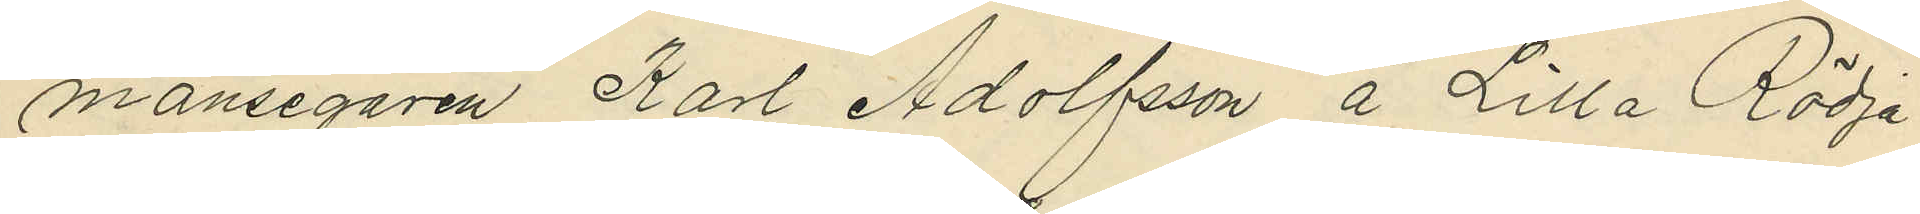mansegaren Karl Adolfsson å Lilla Rödja
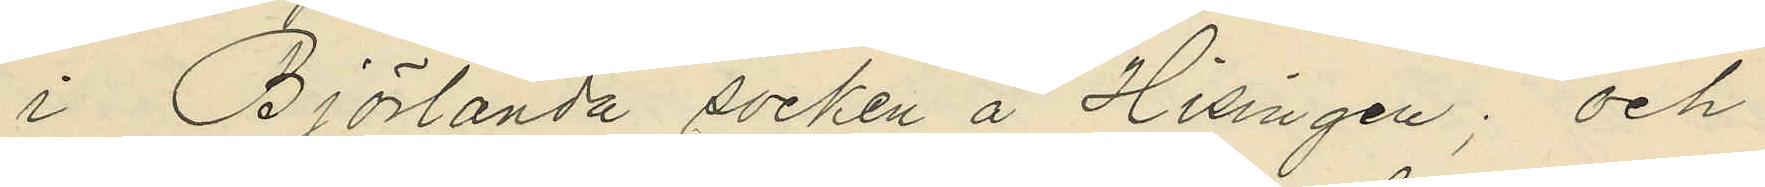i Björlanda socken å Hisingen; och
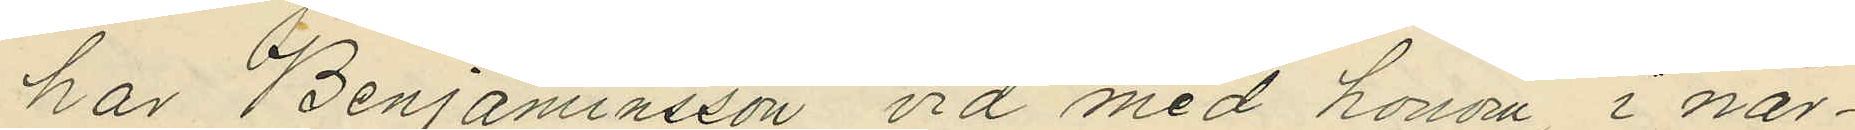har Benjaminsson vid med honom, i när¬
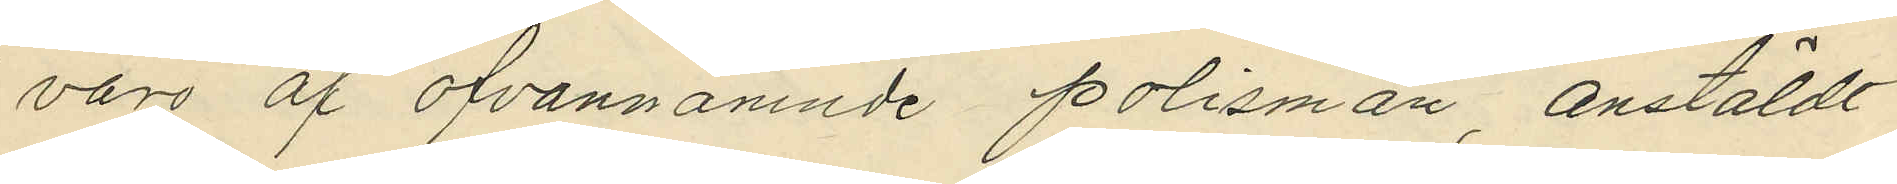varo af ofvannämnde polismän, anstäldt
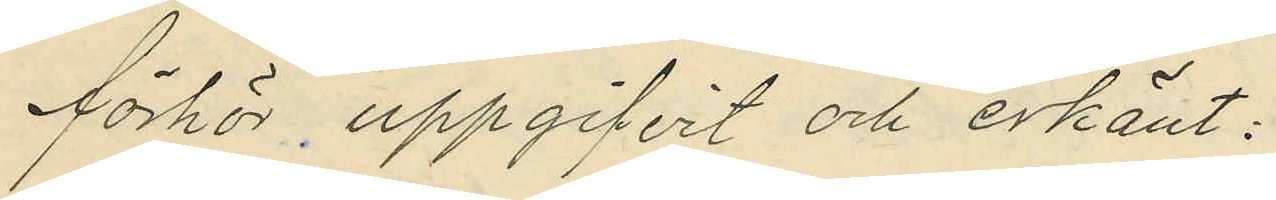förhör uppgifvit och erkänt:
